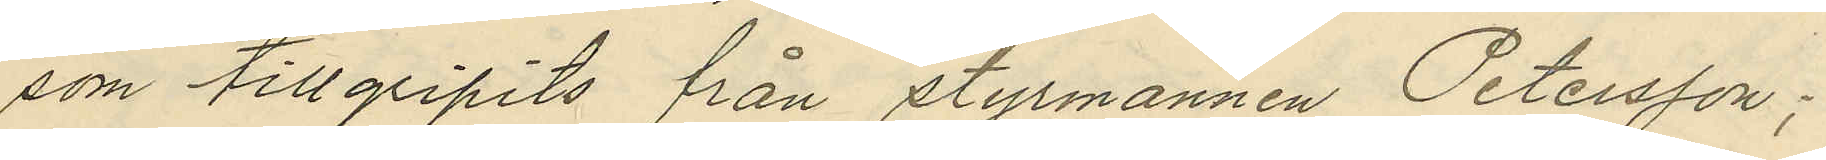som tillgripits från styrmannen Petersson;
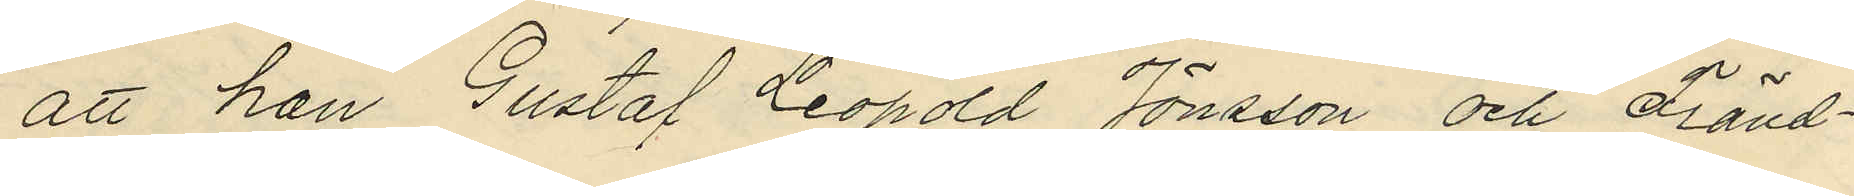att han Gustaf Leopold Jönsson och Fränd¬
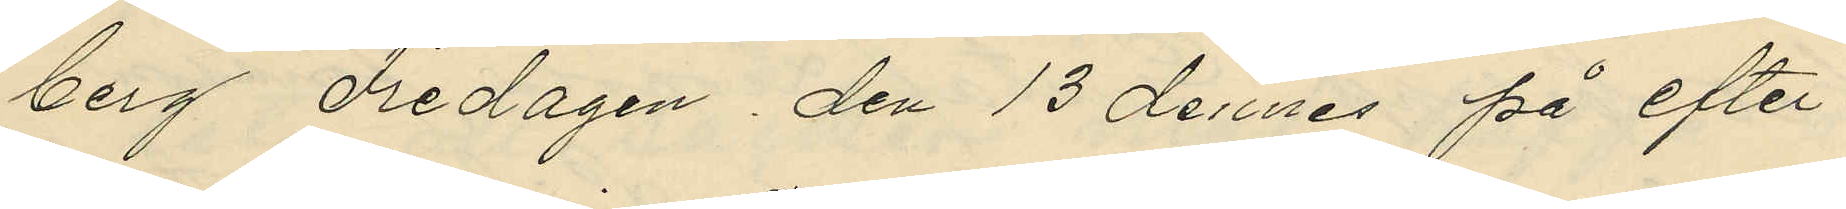berg Fredagen den 13 dennes på efter¬
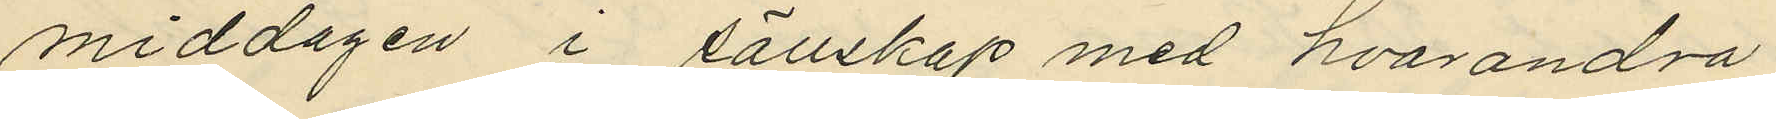middagen i sällskap med hvarandra
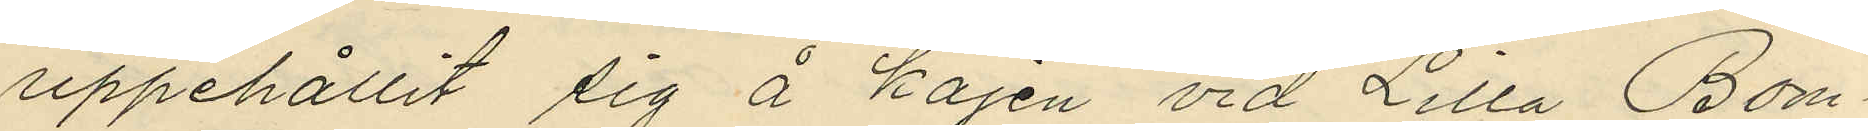uppehållit sig å kajen vid Lilla Bom¬
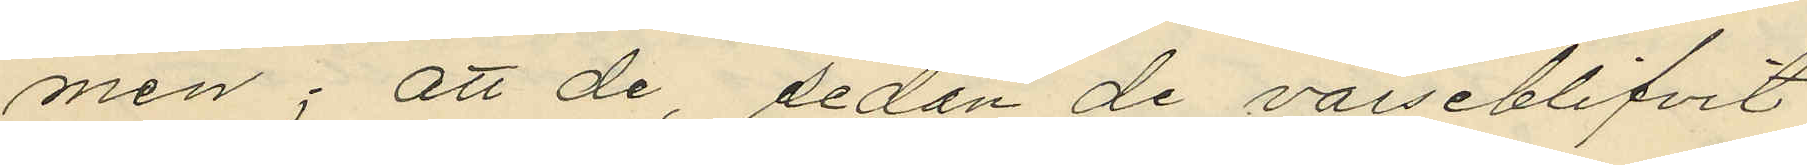men; att de sedan de varseblifvit
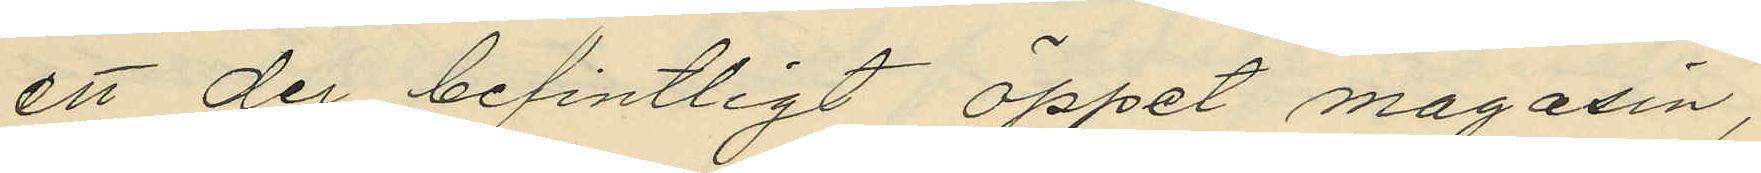ett der befintligt öppet magasin,
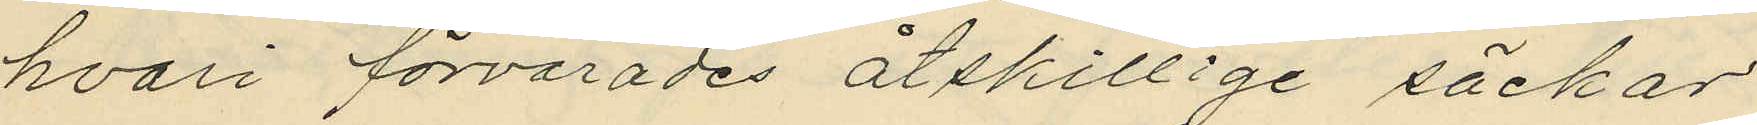hvari förvarades åtskillige säckar
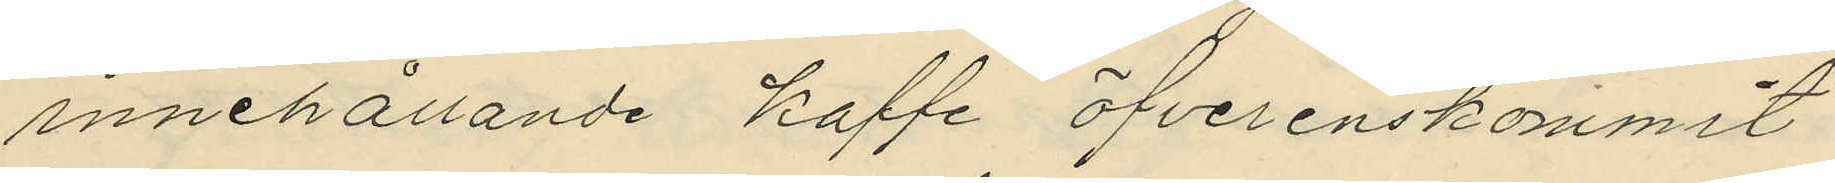innehållande kaffe öfverenskommit
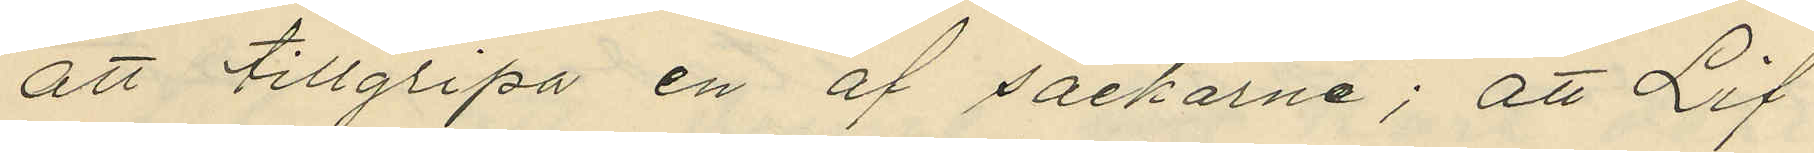att tillgripa en af säckarne; att Lif
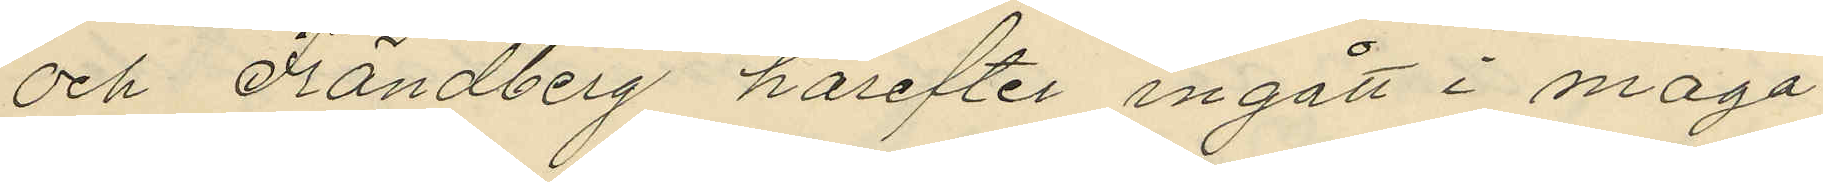och Frändberg härefter ingått i maga¬
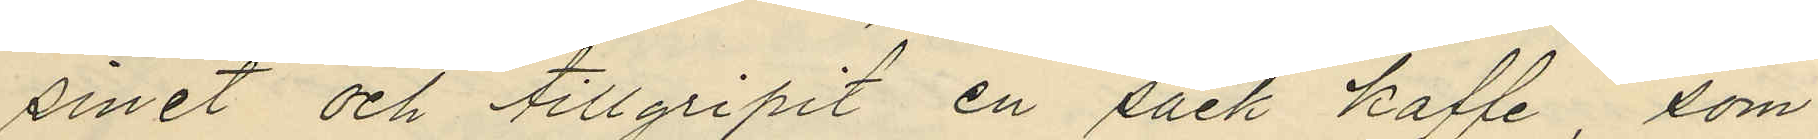sinet och tillgripit en säck kaffe, som
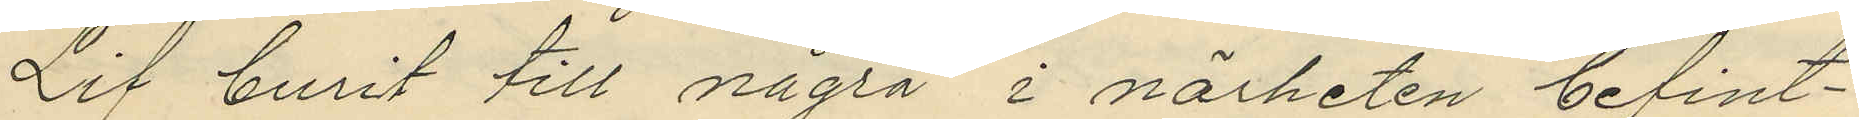Lif burit till några i närheten befint¬
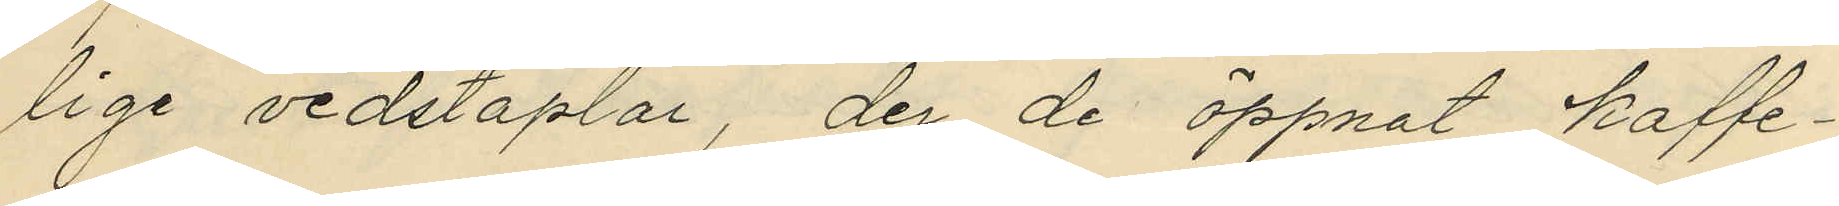lige vedstaplar, der de öppnat kaffe¬
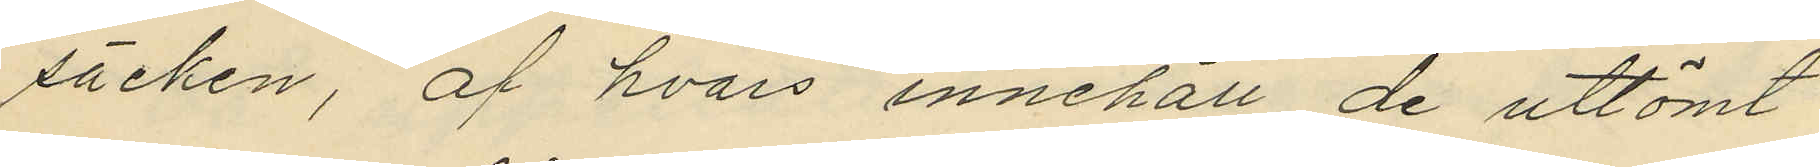säcken, af hvars innehåll de uttömt
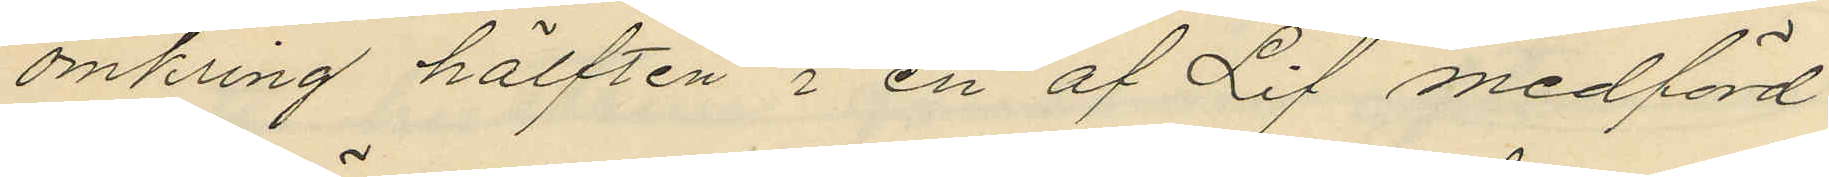omkring hälften i en af Lif medförd
